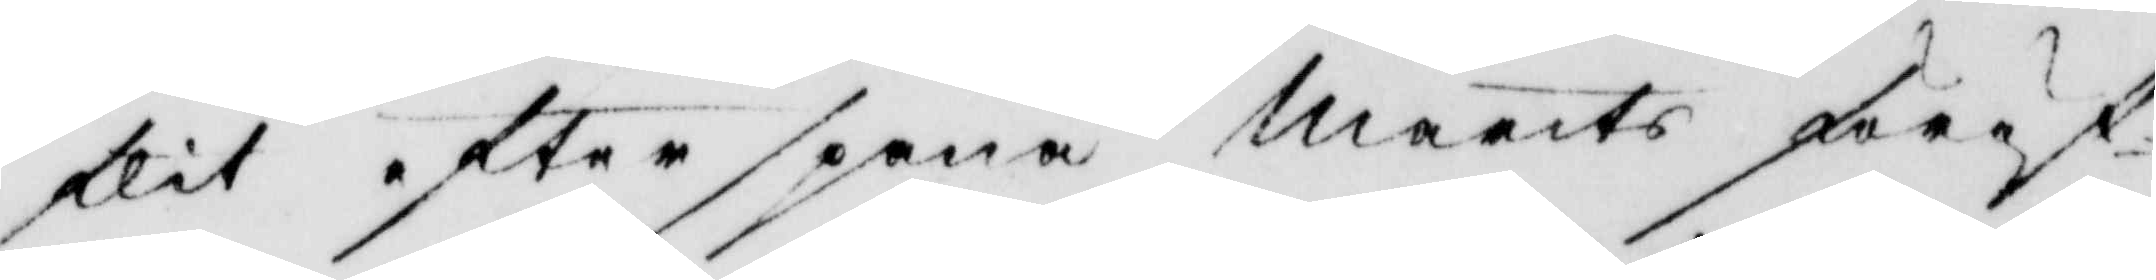flit efterspana Marits föröf¬
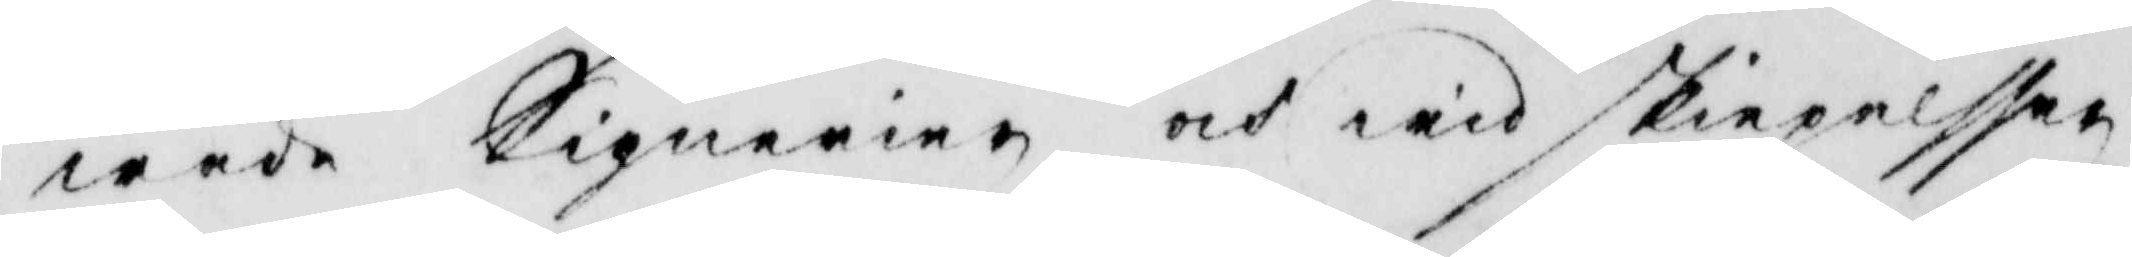wade Signerier och wid skiepelsser
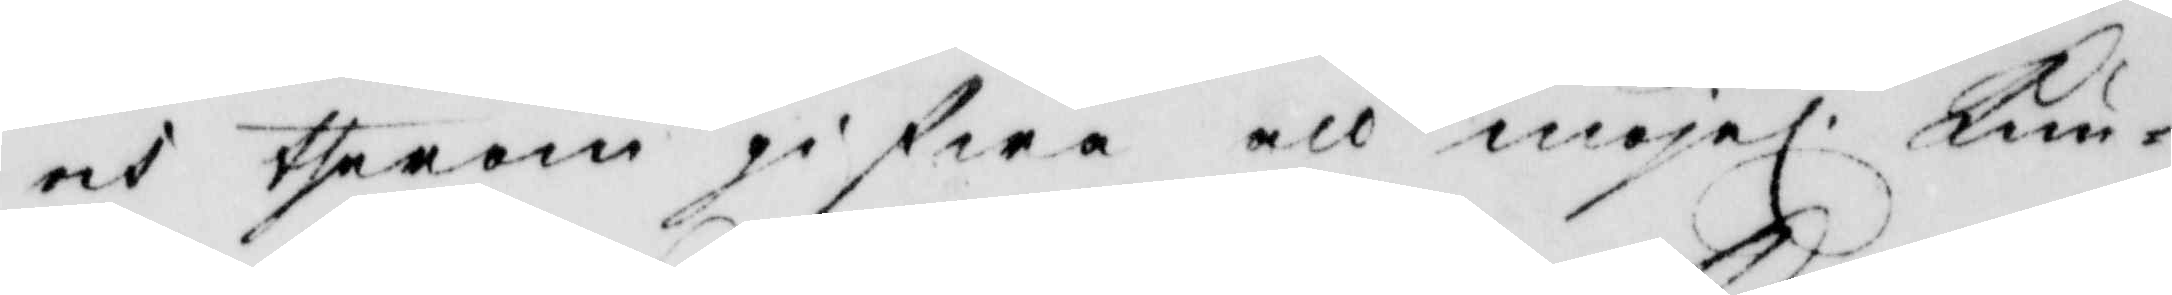och therom gifwa all möjel. kun¬
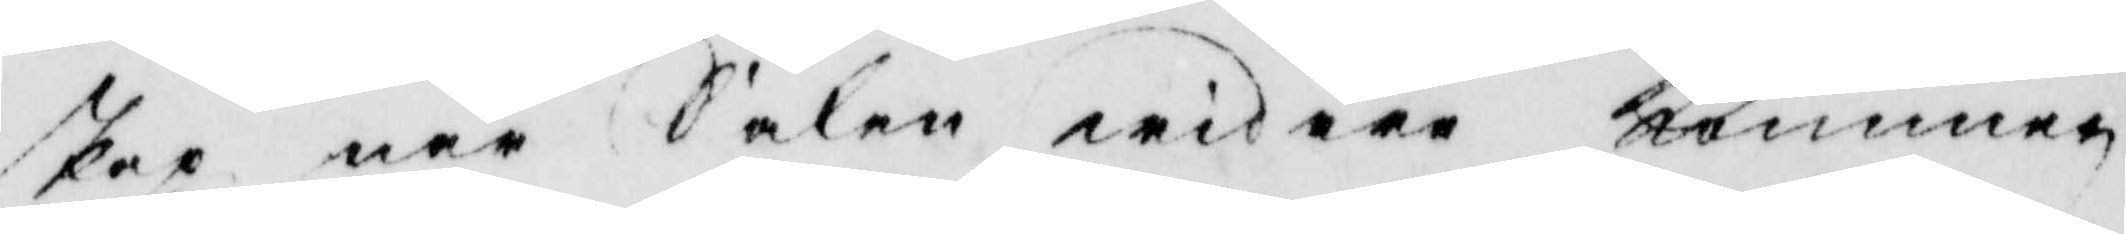skap när Saken widare kommer
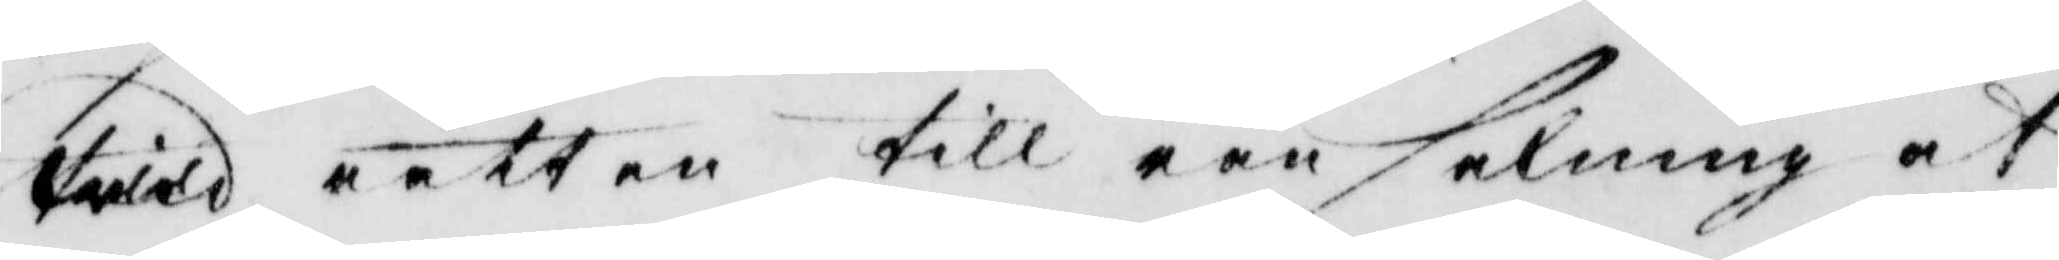wid rätten till ransakning at
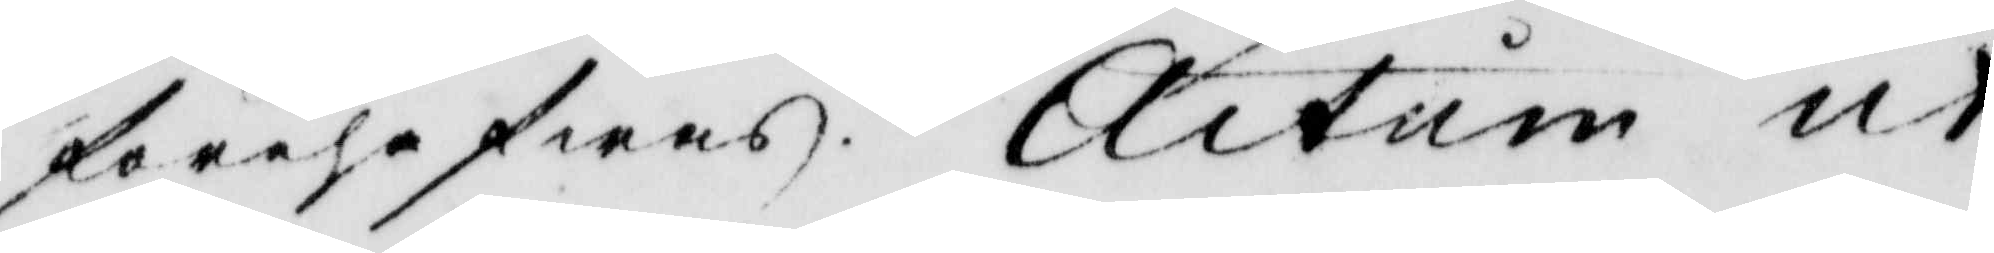förehafwas. Actum ut
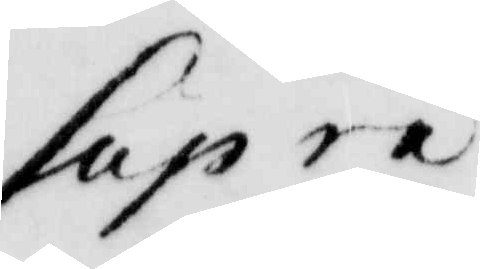Supra.
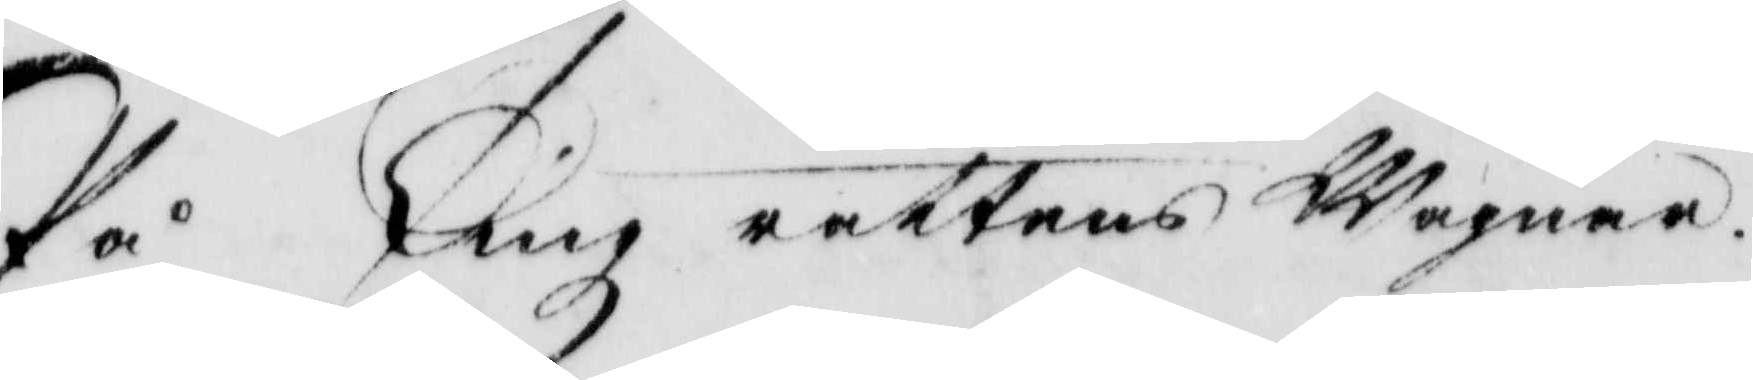På Tingz rättens Wägnar
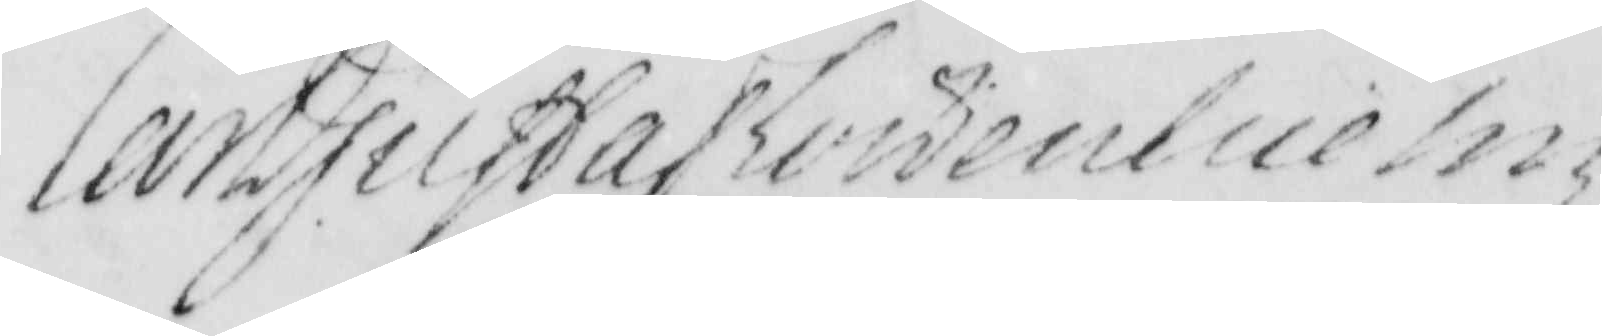Len Gustaf Löwenhielm
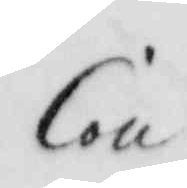Con:
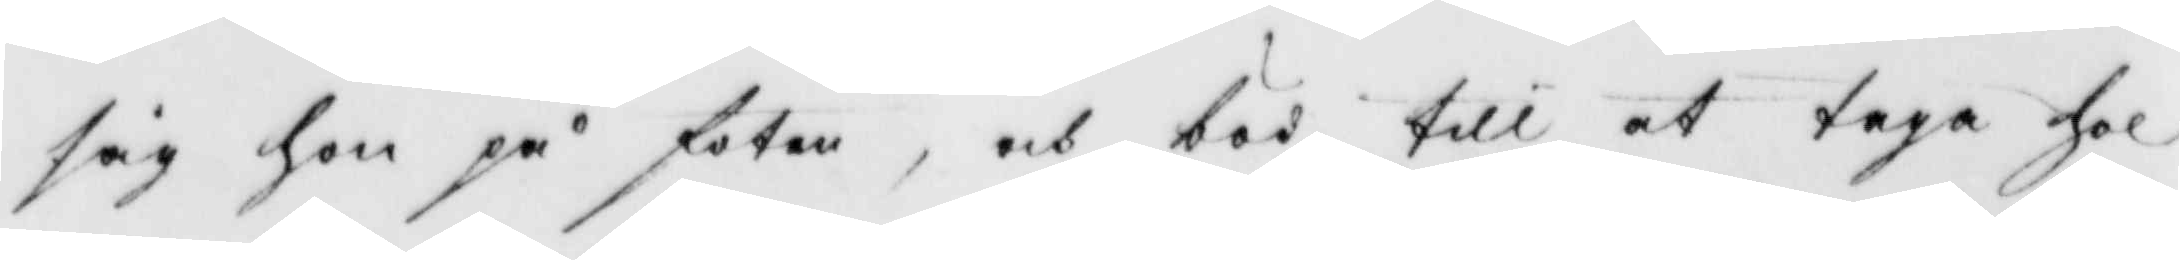sig hon på foten, och böd till at taga hol
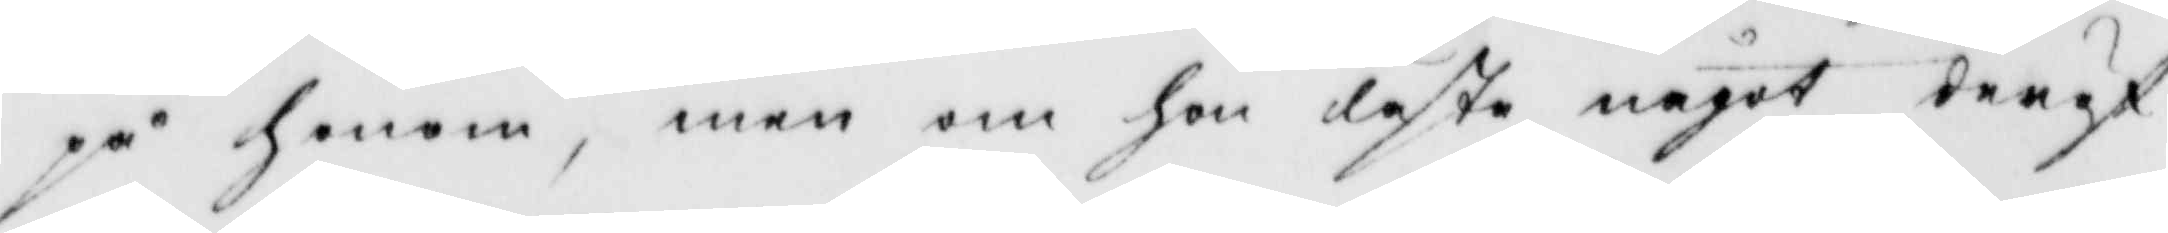på honom, men om hon läste något deröf¬
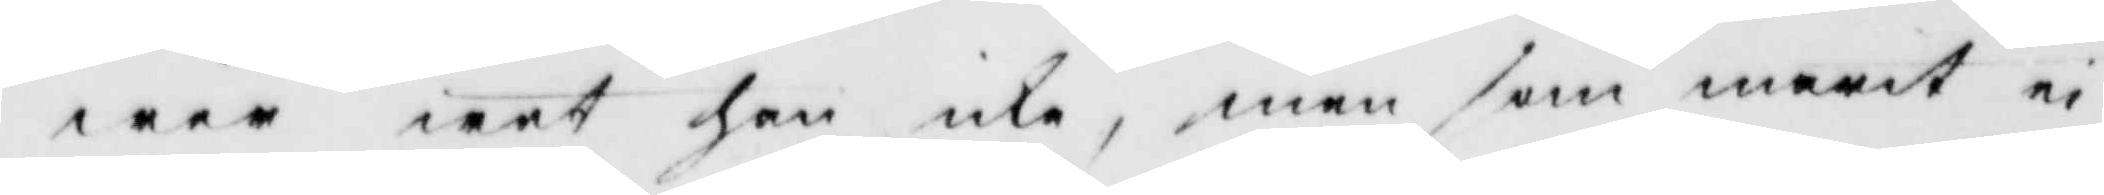wer wet han icke, men som marit ei
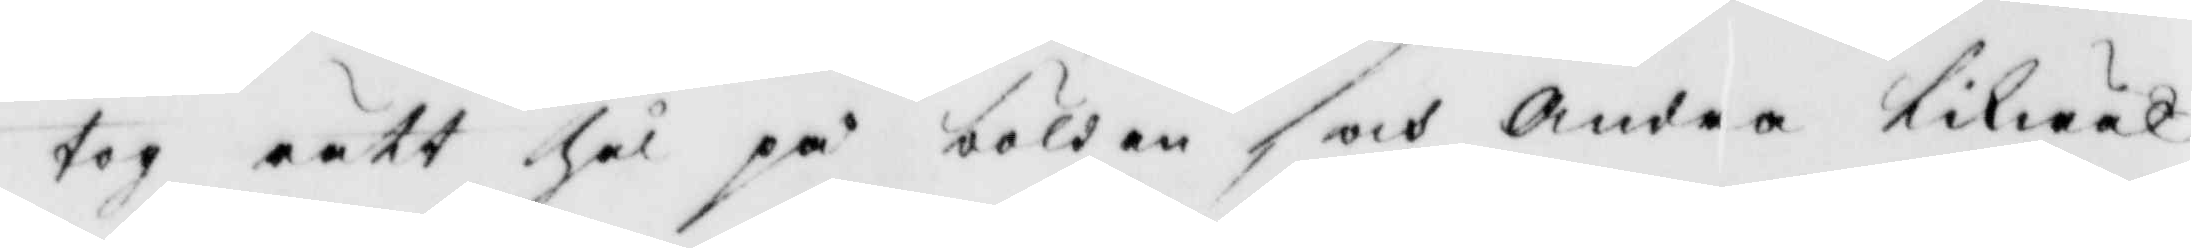tog rätt Hål på bölden och andra likwäl
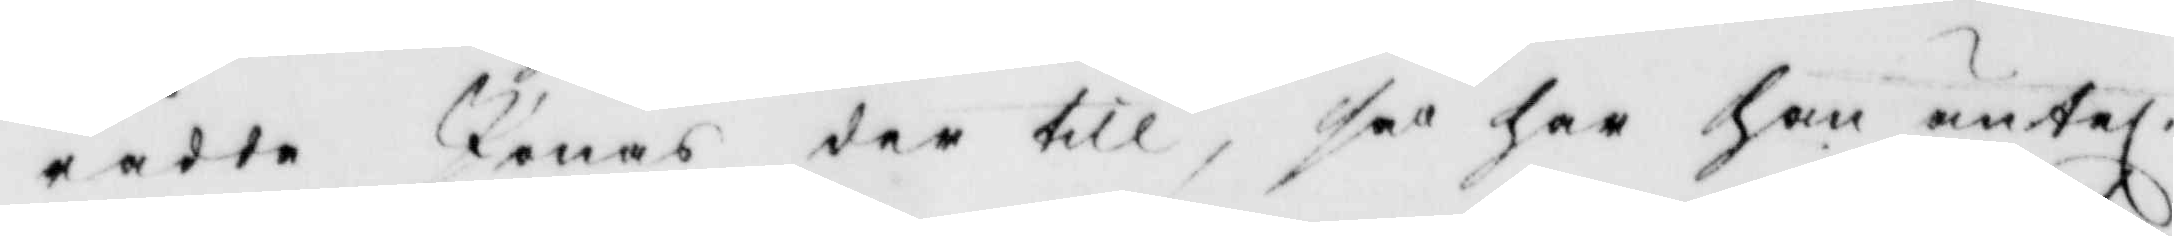rådde Jonas der till, så har han äntel. 
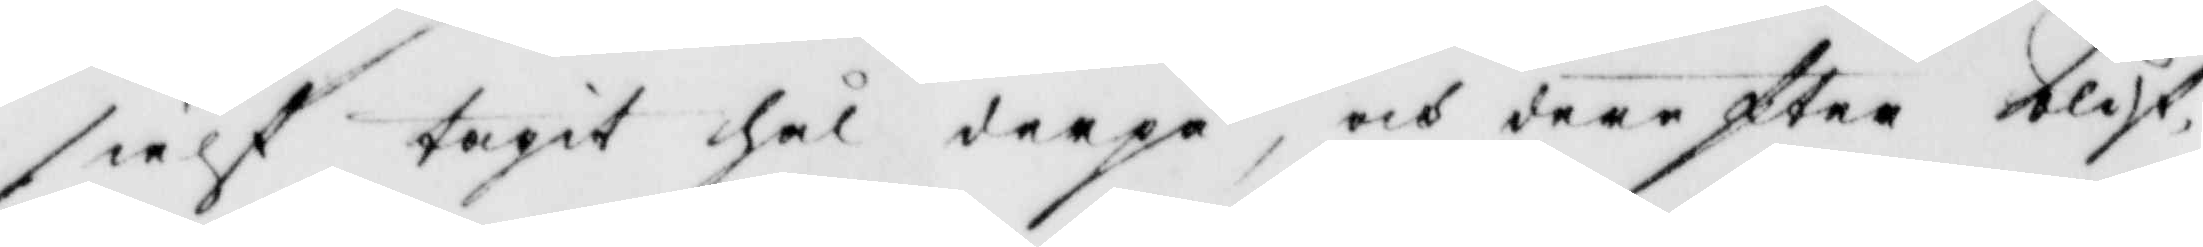sielf tagit hål derpå, och derefter blif¬
